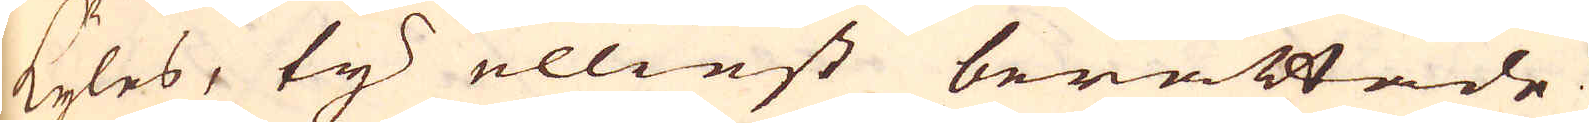kyles, ty elliest berättade
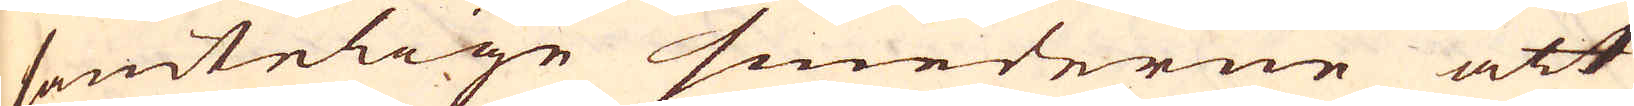samtelige smederne att
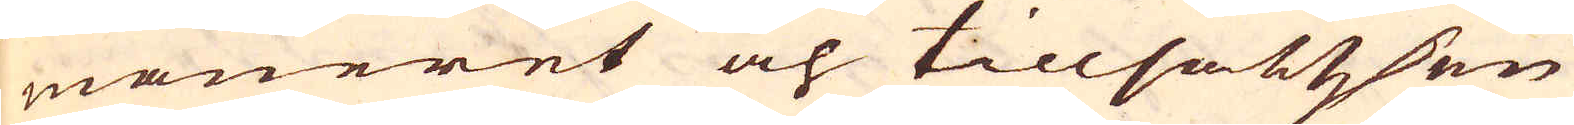maneret och tillsattzsen
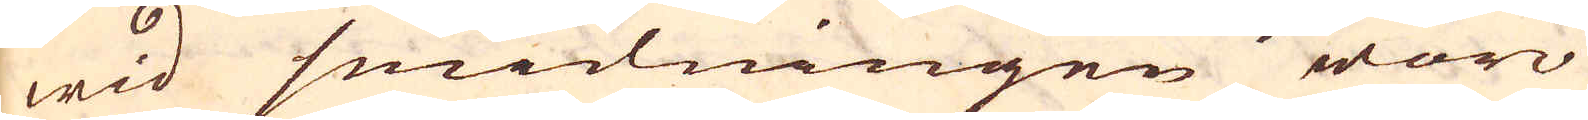wid smidningen woro
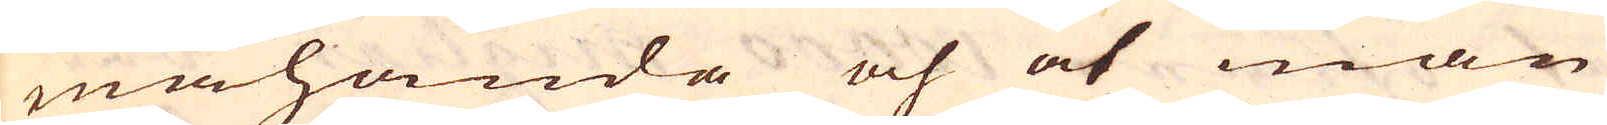mahanda och at man
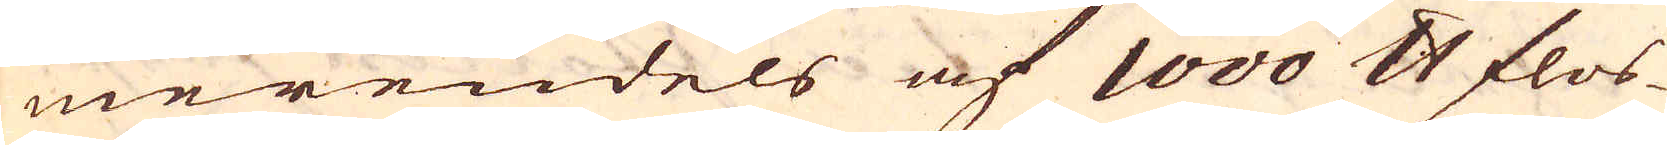merendels af 1000 skålpund flos-
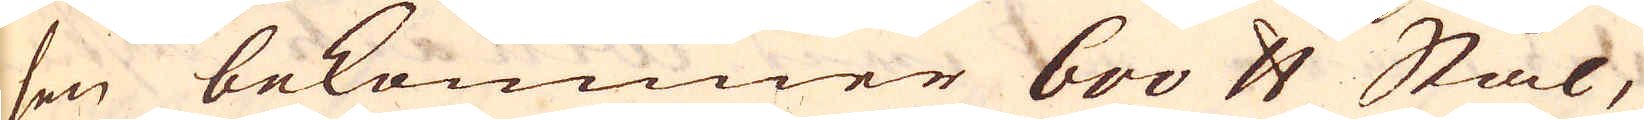sen bekommer 600 skålpund Stål,
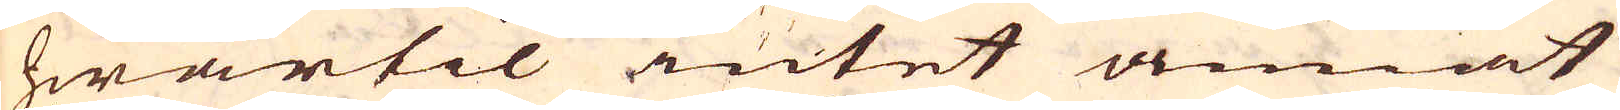hwartil intet annat
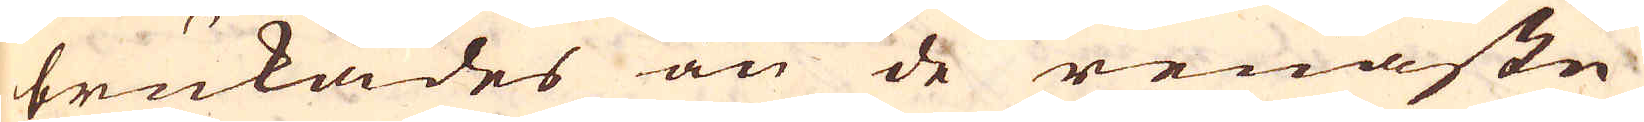brukades än de renaste
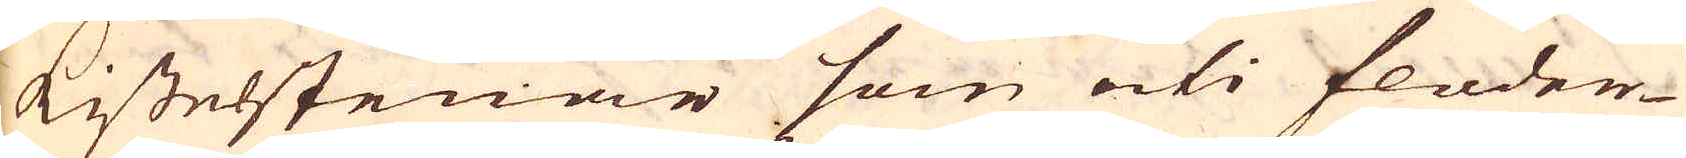Kisselstenar som uti floder-
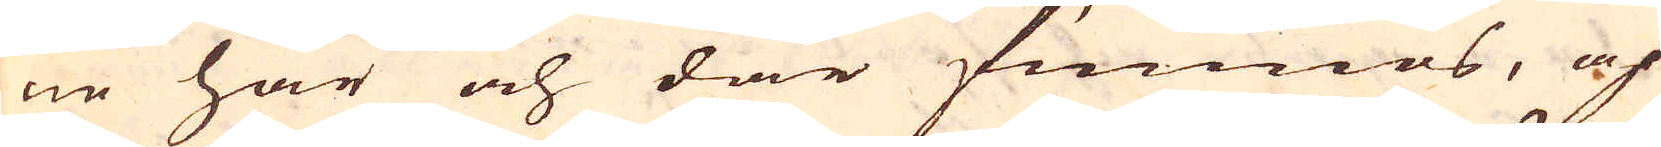ne här och där funnos, af
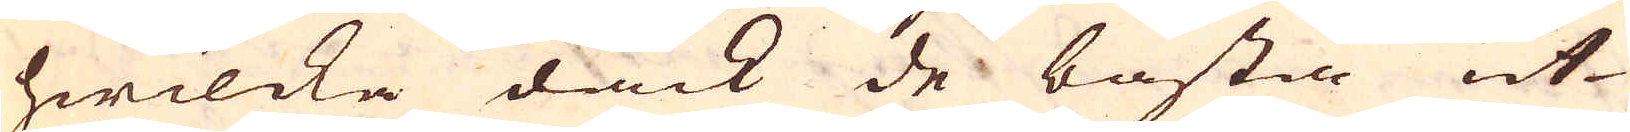hwilcka dåck de bästa ut-
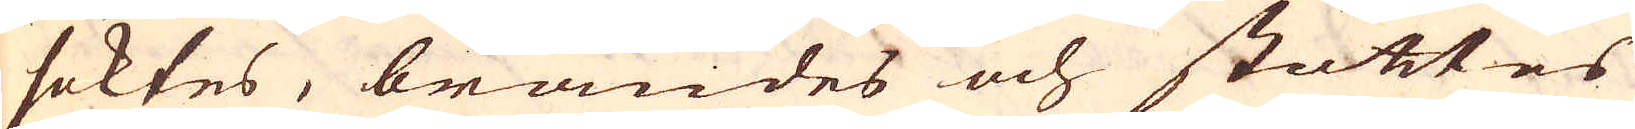söktes, brändes och stöttes
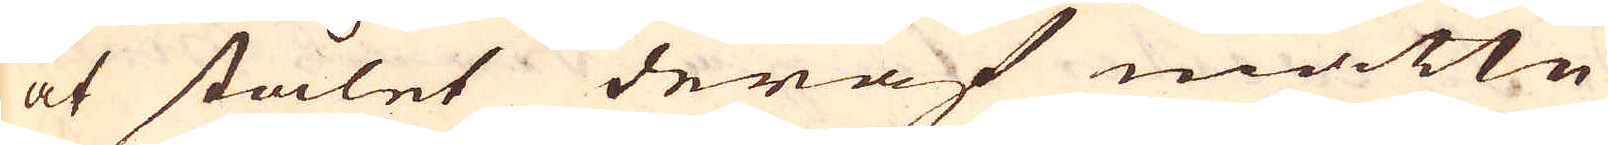at stålet deraf måtte
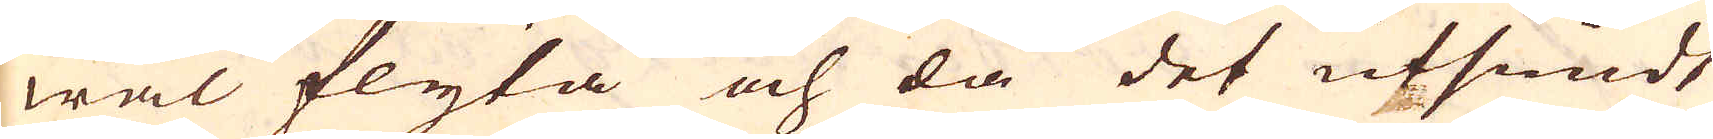wäl flyta och då det ufsmidt
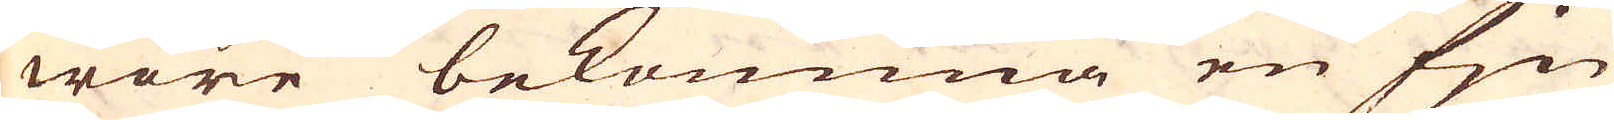wore bekomma en fin
